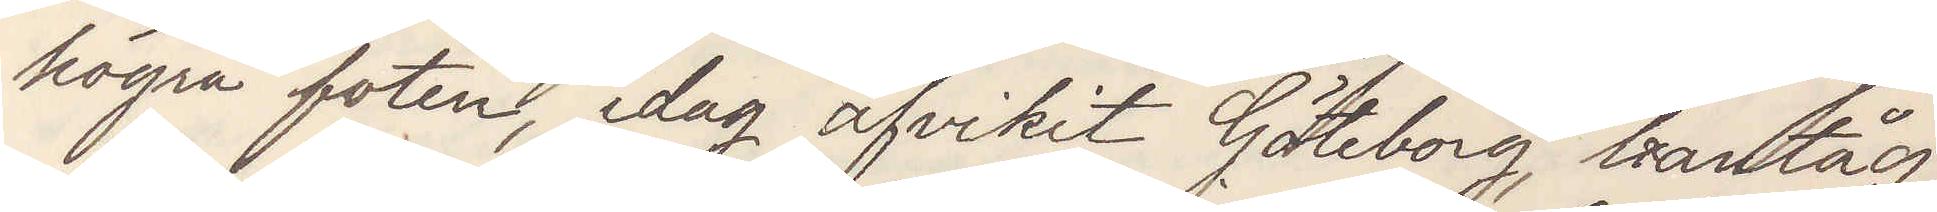högra foten idag afvikit Göteborg bantåg,
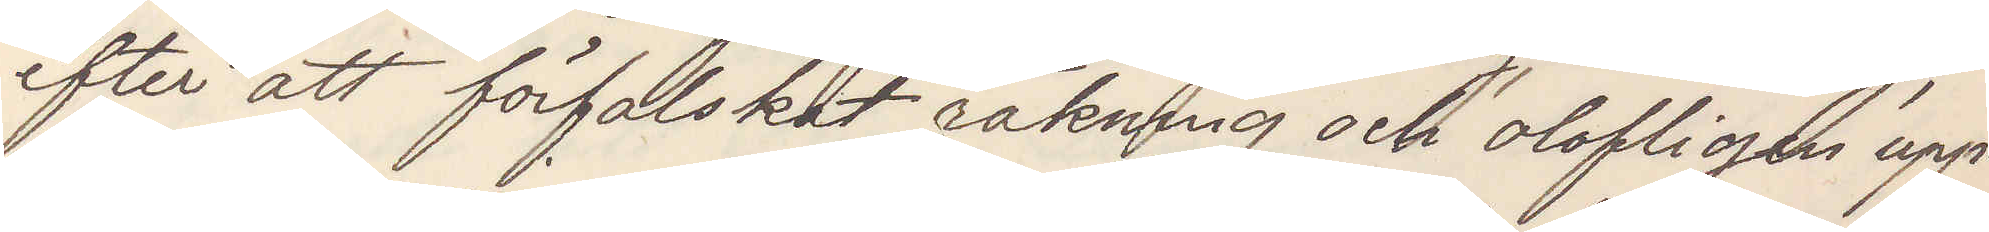efter att förfalskat räkning och olofligen upp¬
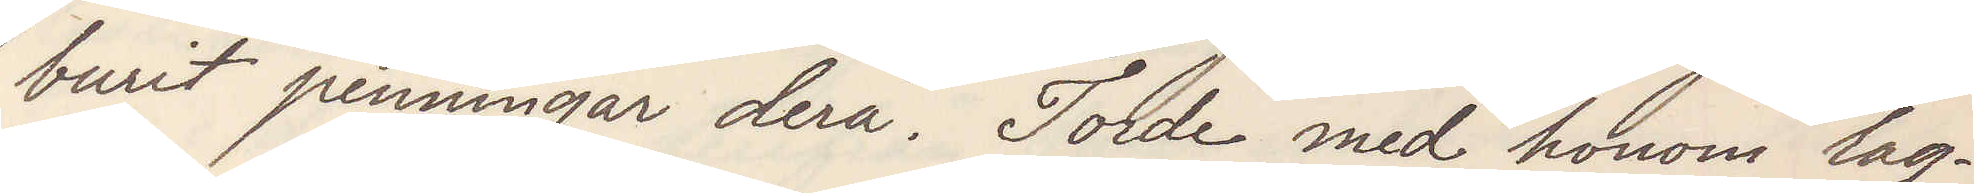burit penningar derå. Torde med honom lag¬
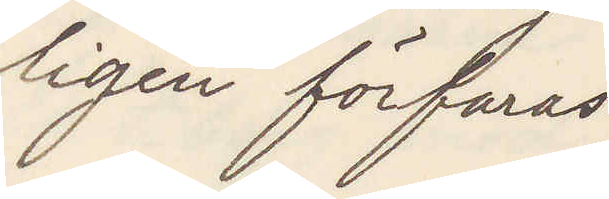ligen förfaras
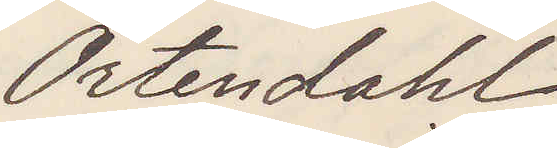Örtendahl
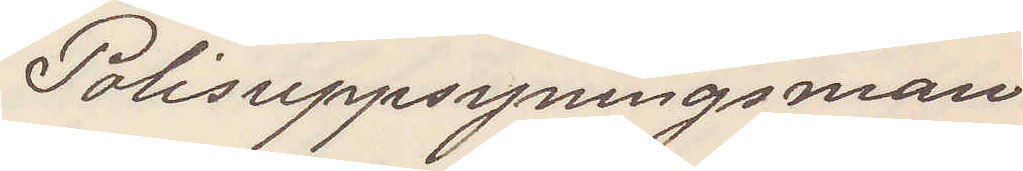Polisuppsyningsman
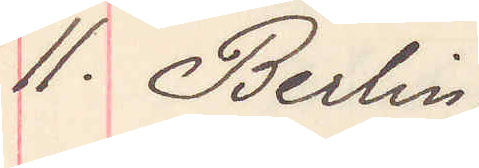11. Berlin
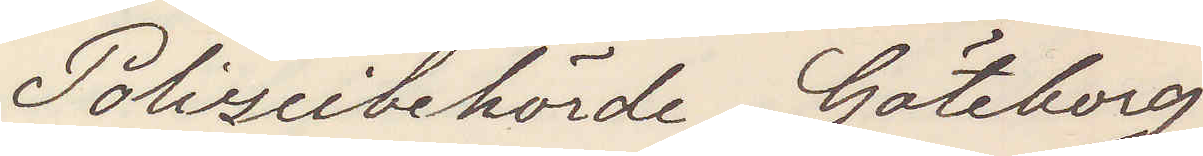Polizeibehörde Göteborg
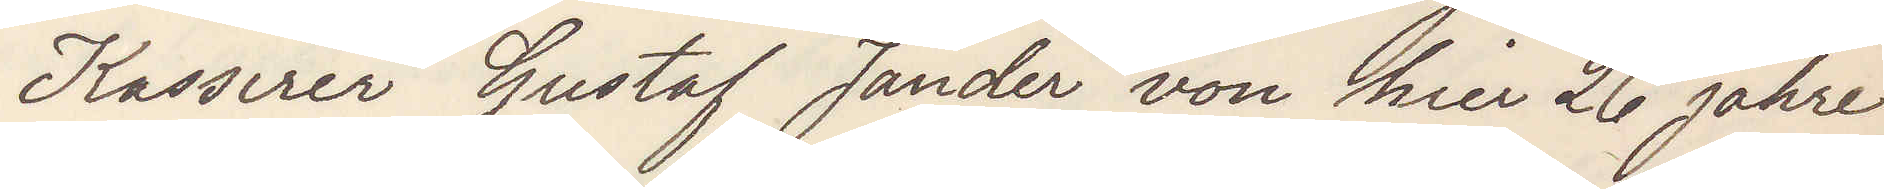Kassirer Gustaf Jander von hier 26 jahre
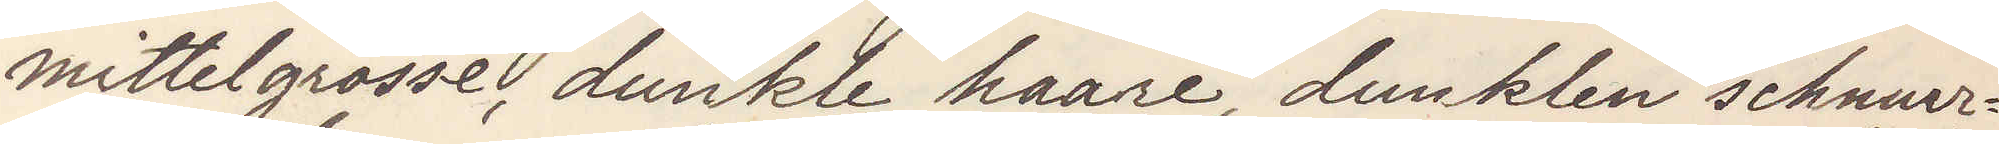mittelgrosse, dunkle haare, dunklen schnuer¬
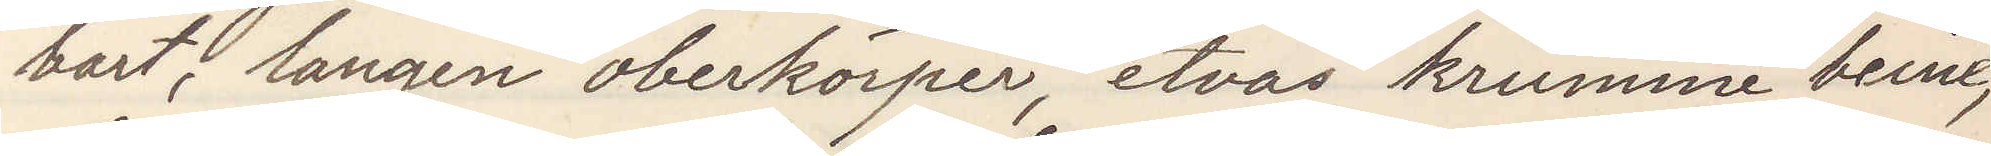bart, langen oberkörper, etvas krumme beine,
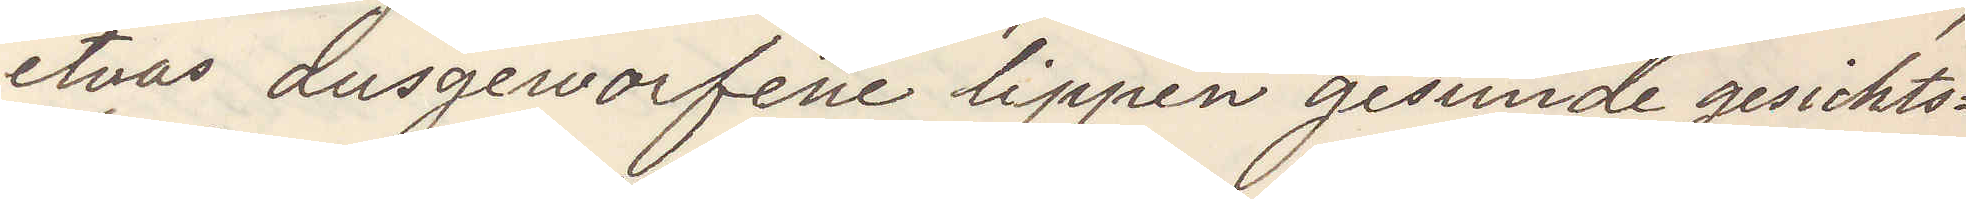etvas dusgeworfene lippen gesunde gesichts¬
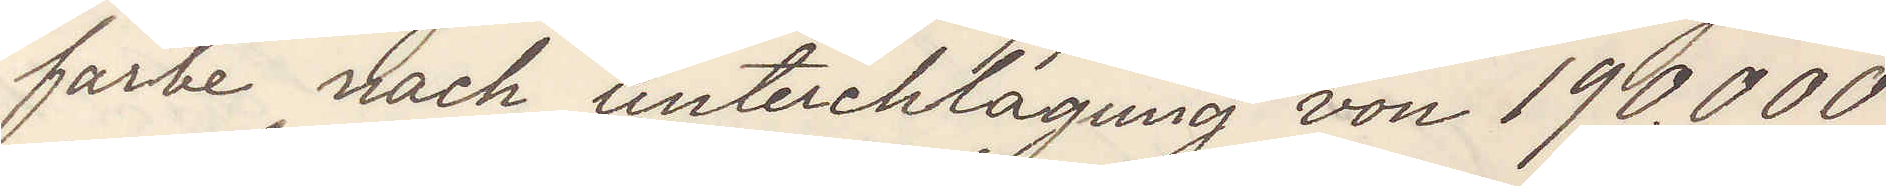farbe nach unterchlagung von 190.000
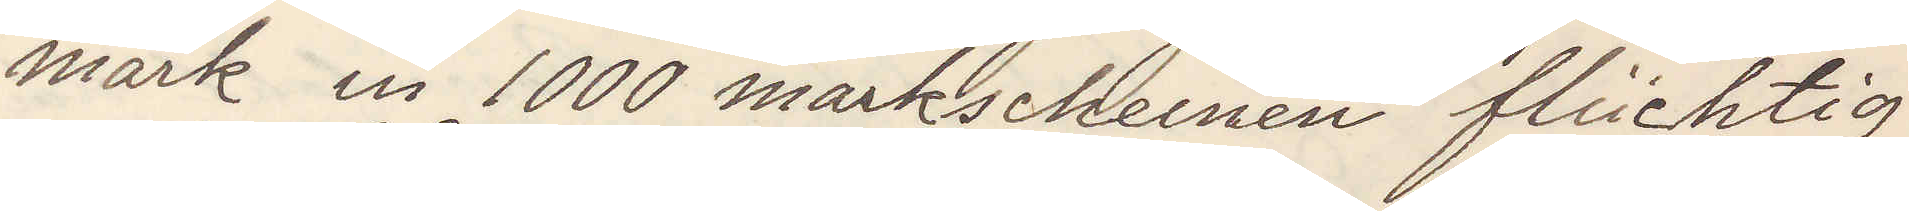mark in 1000 markscheinen flüchtig
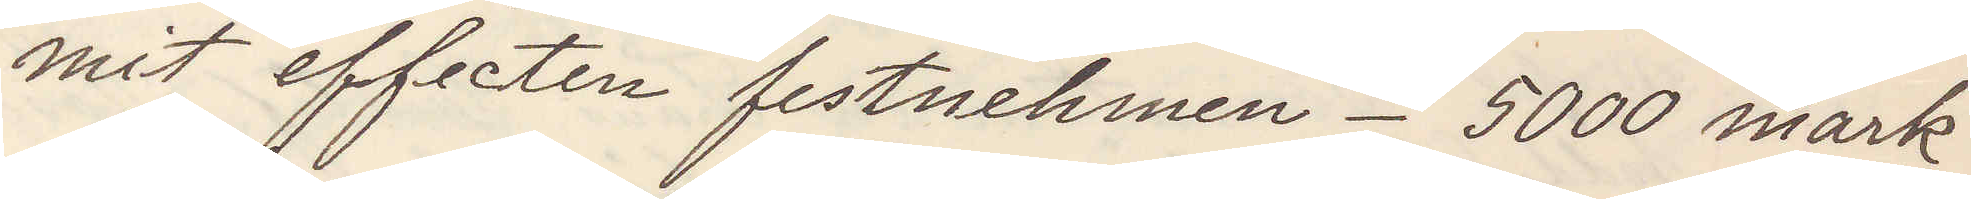mit effecten festnehmen - 5000 mark
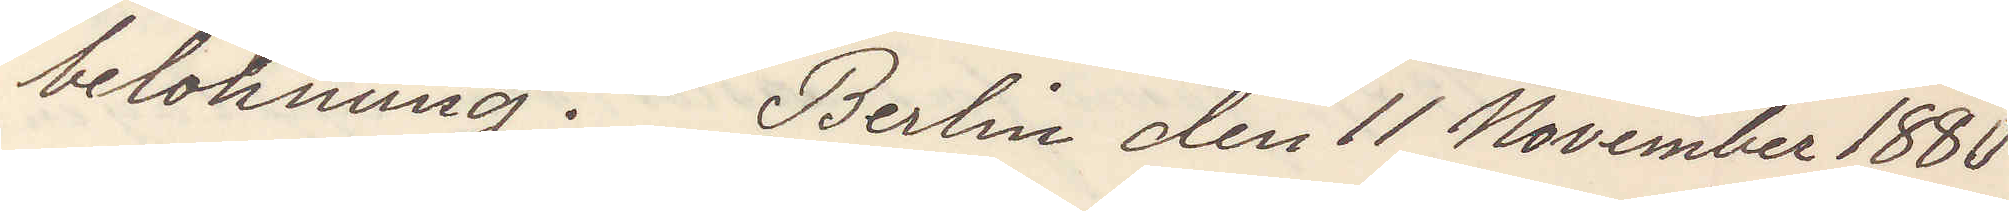belohnung. Berlin den 11 November 1880
